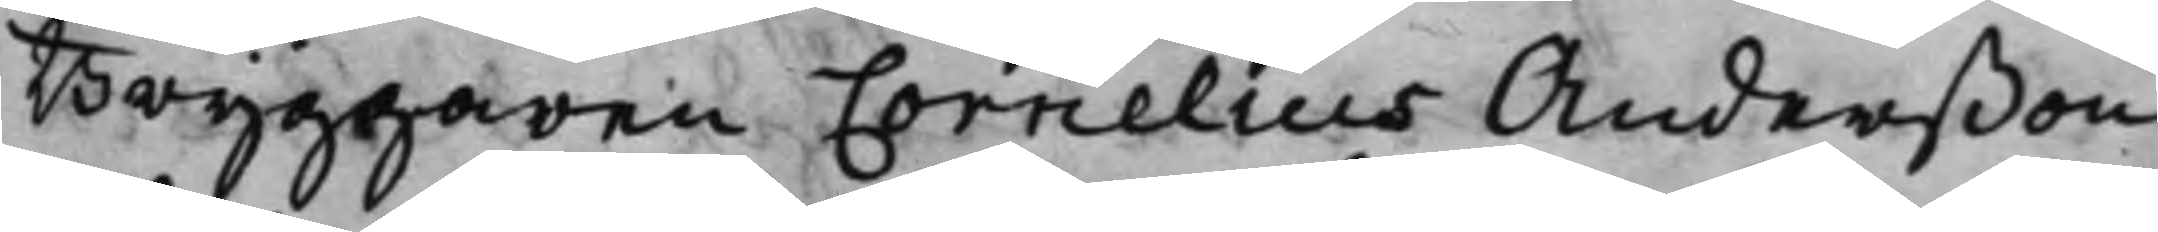Bryggaren Cornelius Anderßon
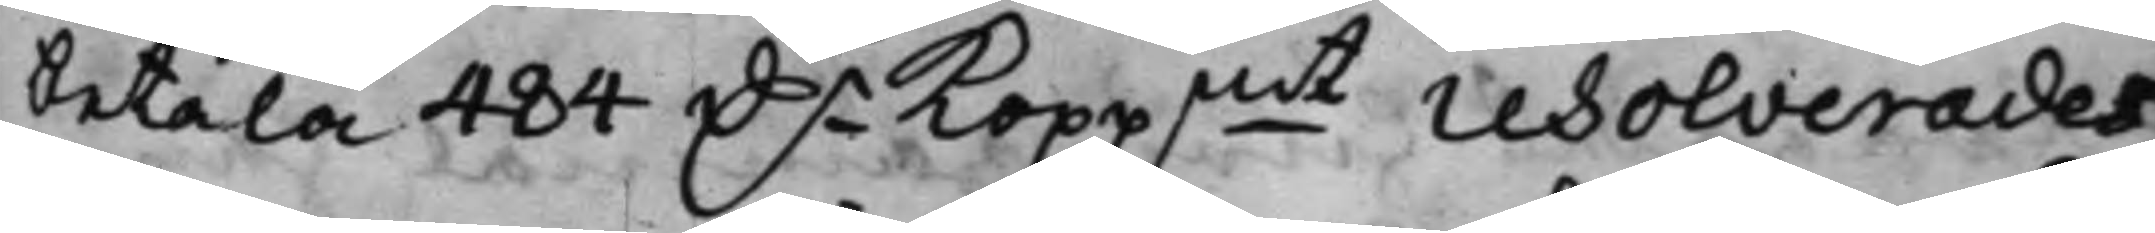betala 484 D.r Koppmt resolverades
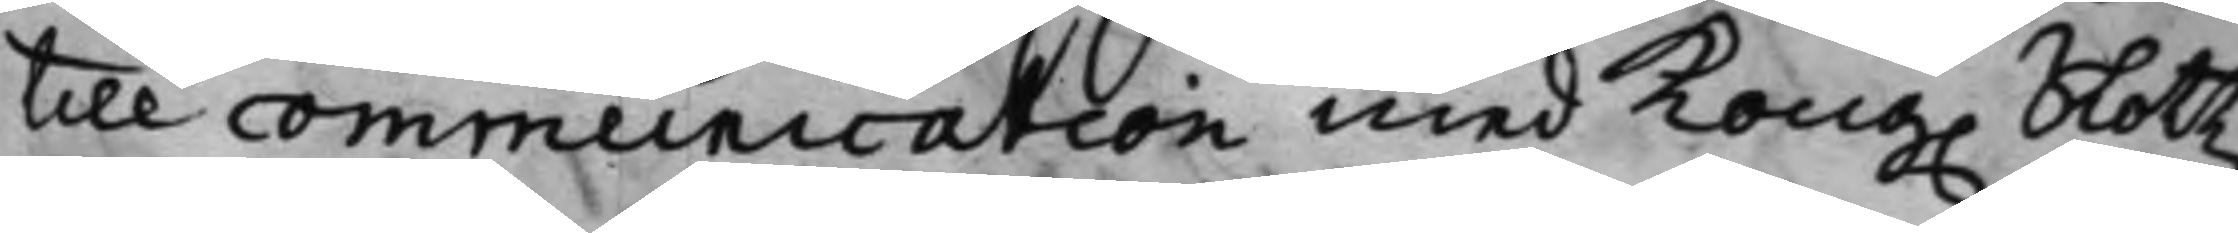till communication med Kong. Slottz¬
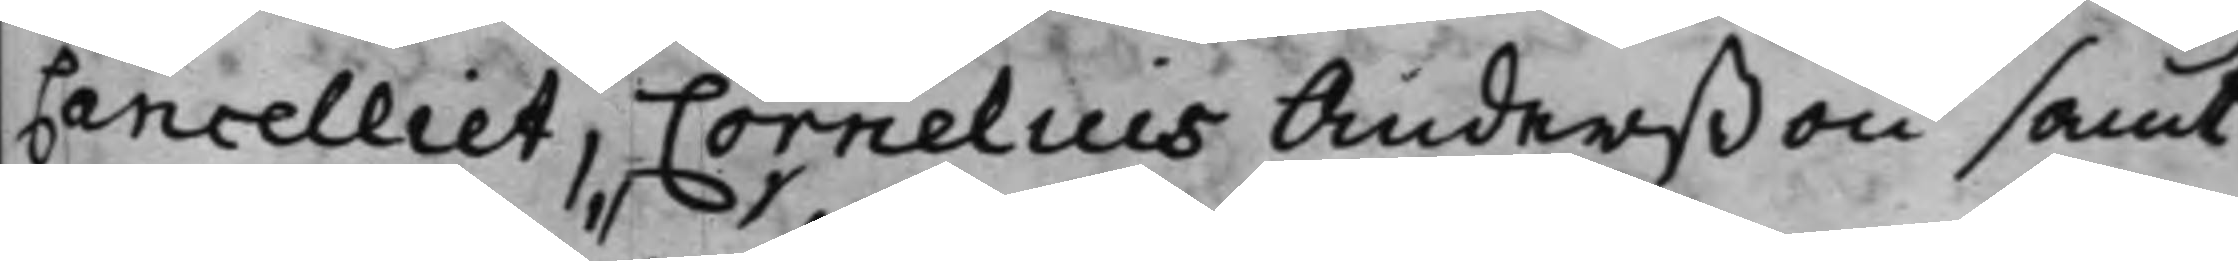Cancelliet, Cornelius Anderßon samt
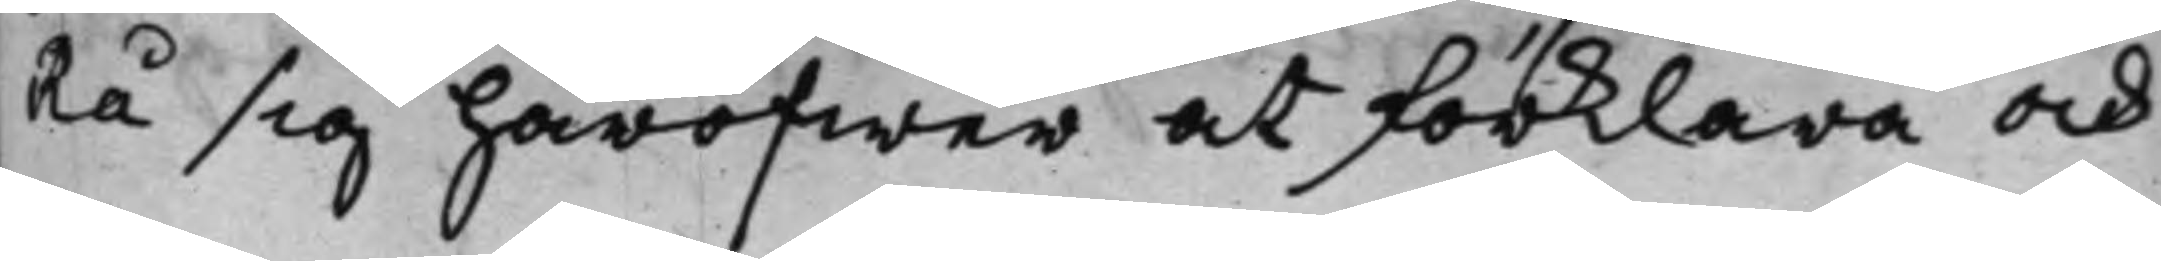Rå sig häröfwer at förklara och
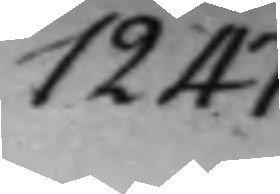1247.
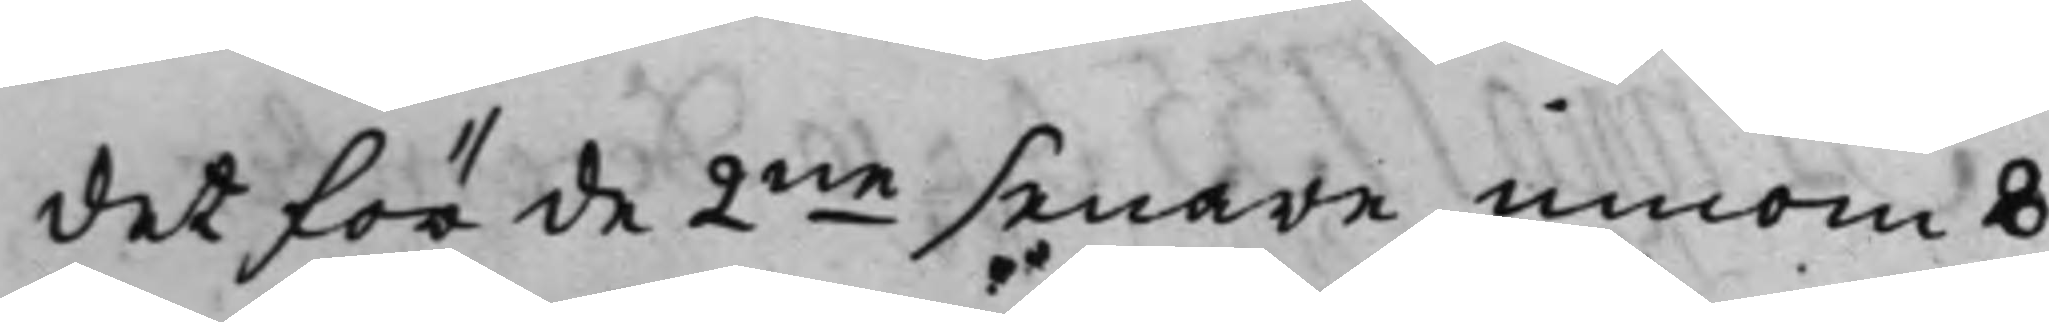det för de 2ne senare innom 8
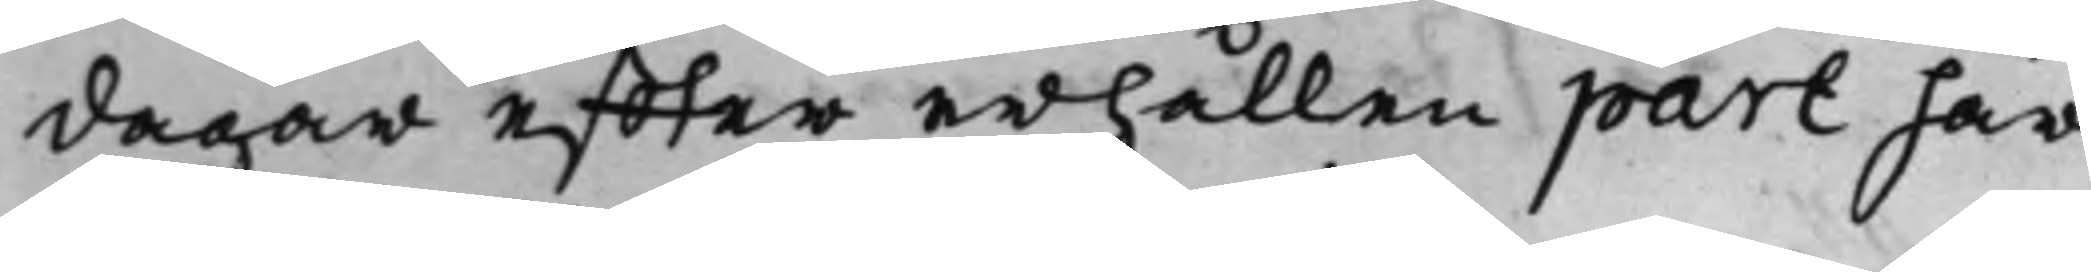dagar effter erhållen part här¬
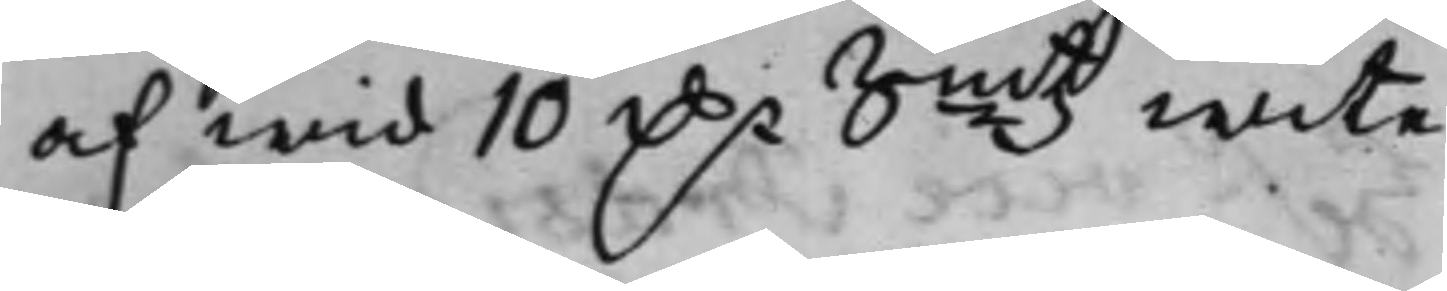af wid 10 D.r Smtz wite.
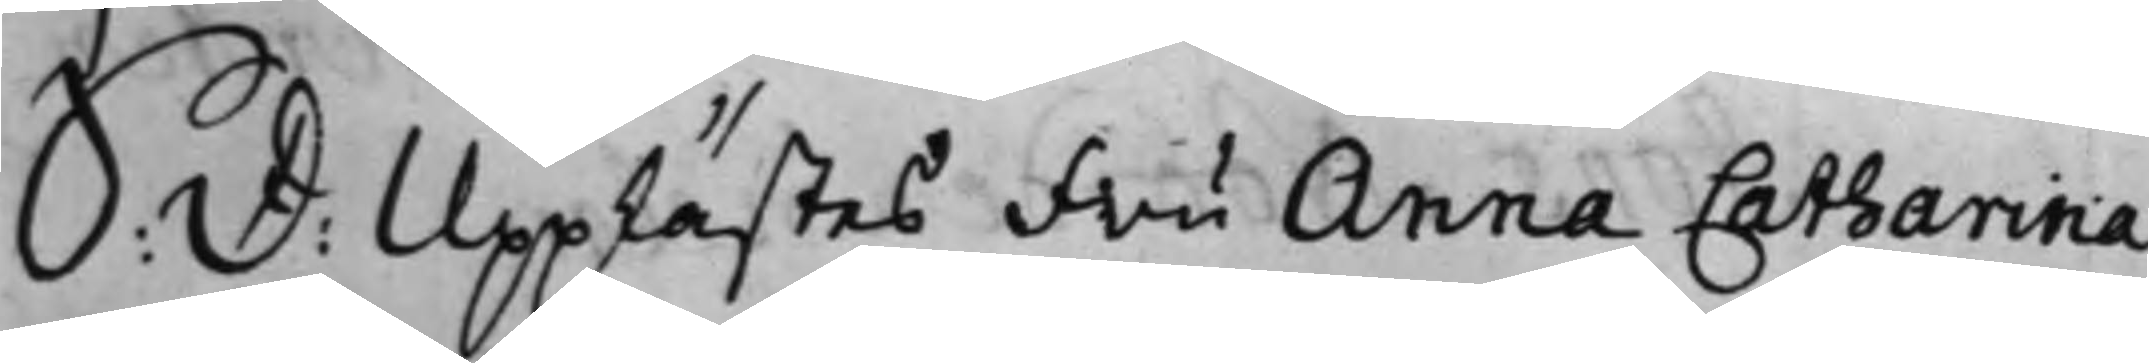S: D: Upplästes Fru Anna Catharina
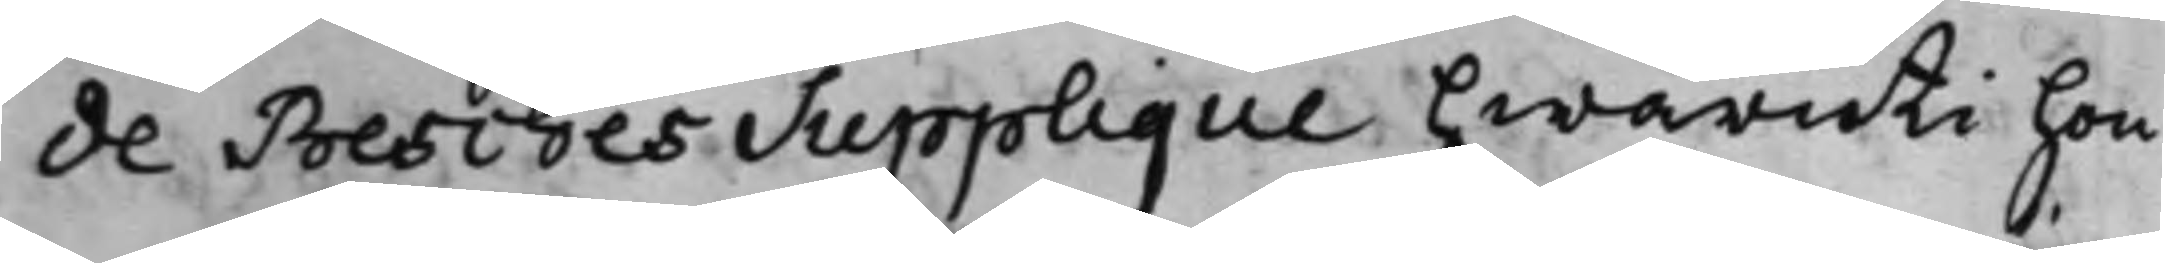de Besches Supplique hwaruti hon
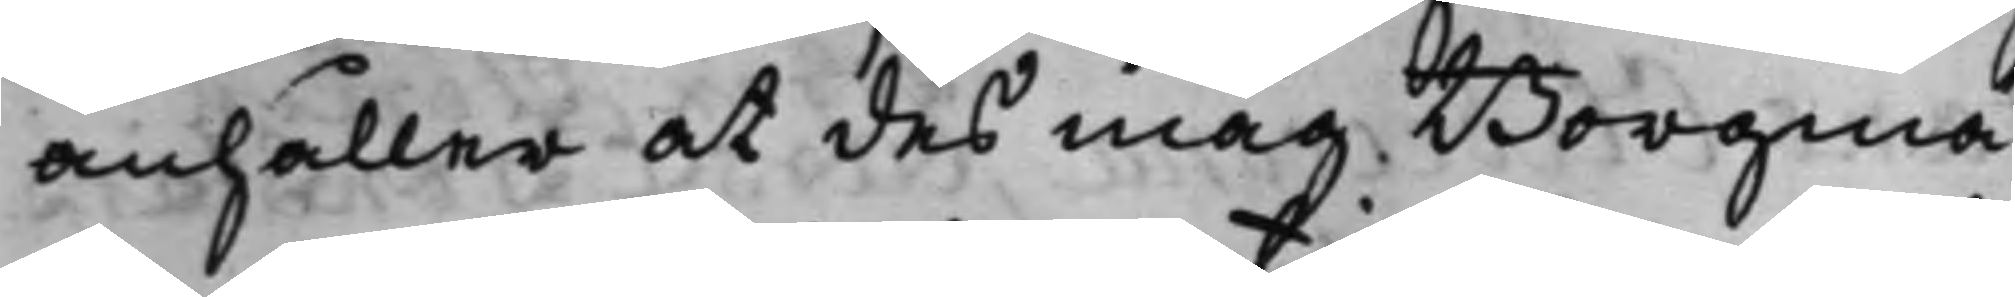anhåller at des måg Borgmä¬
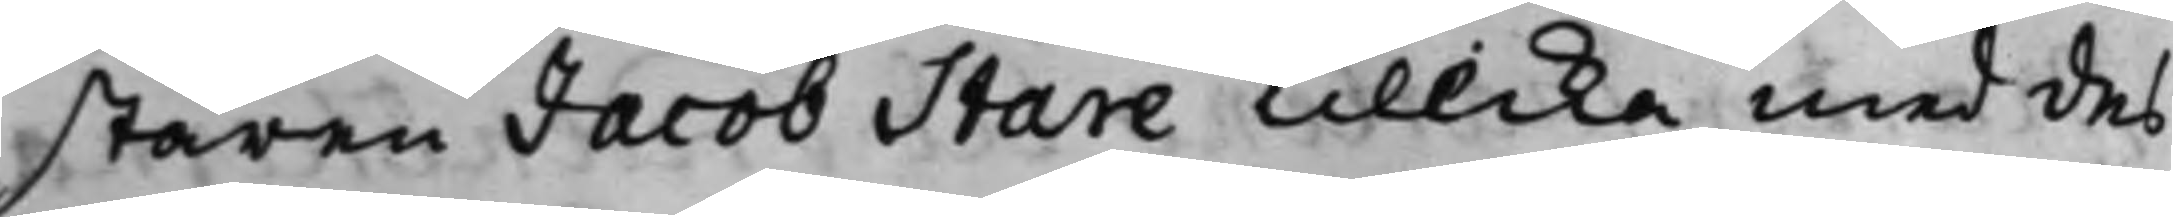staren Jacob Stare tillika med des
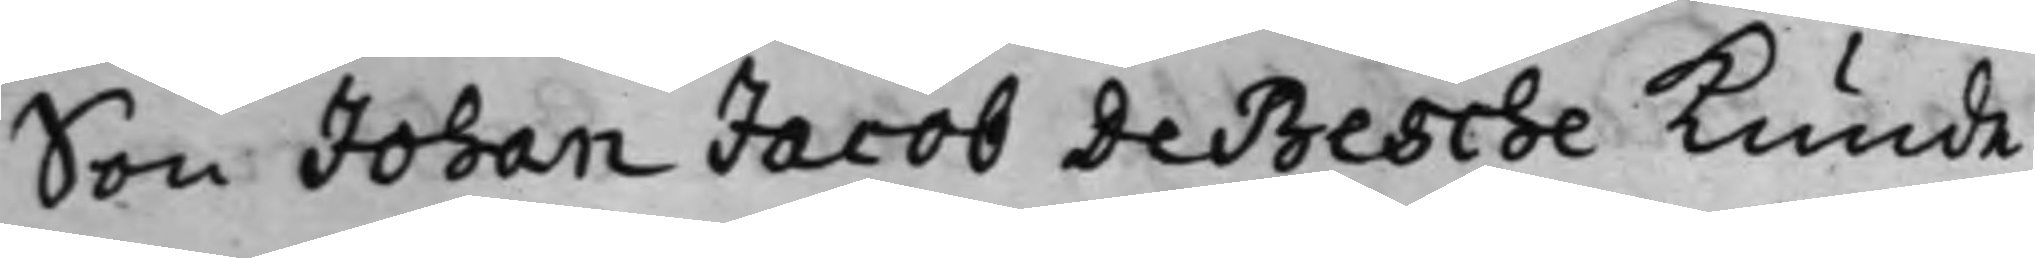Son Johan Jacob de Besche kunde.
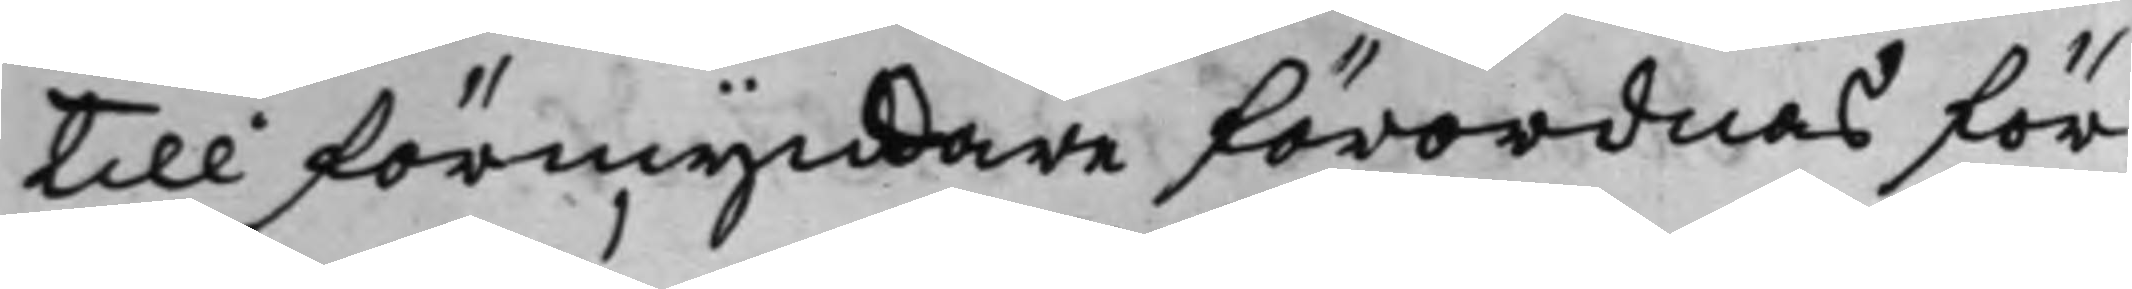till förmyndare förordnas för
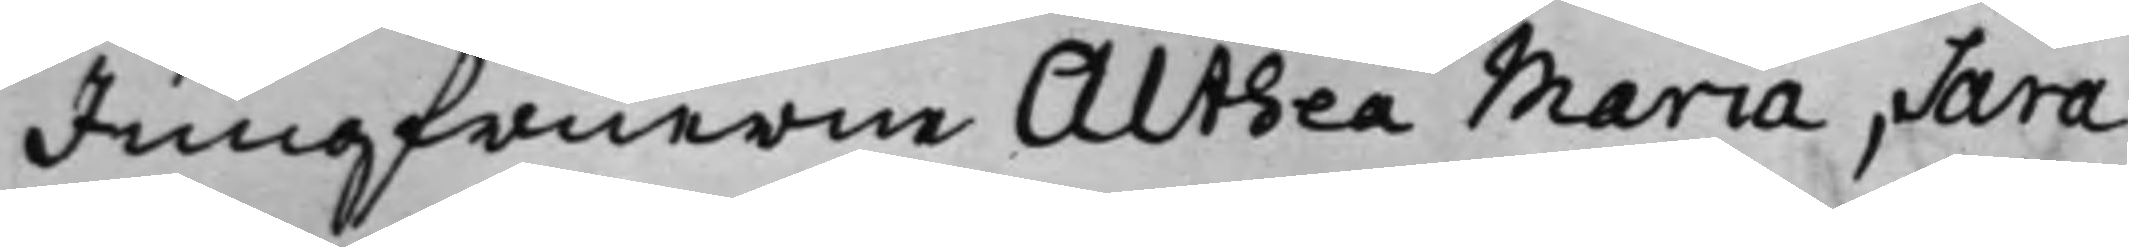Jungfruerne Athea Maria, Sara
